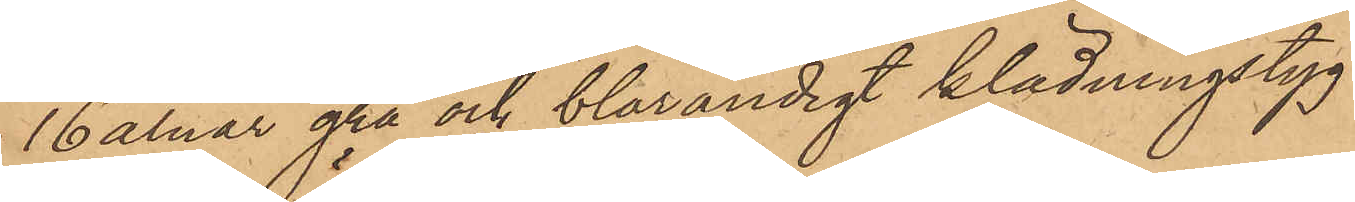16 alnar grå och blårandigt klädningstyg
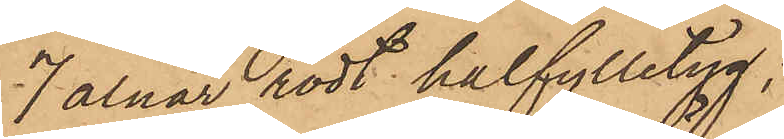7 alnar rödt halfylletyg;
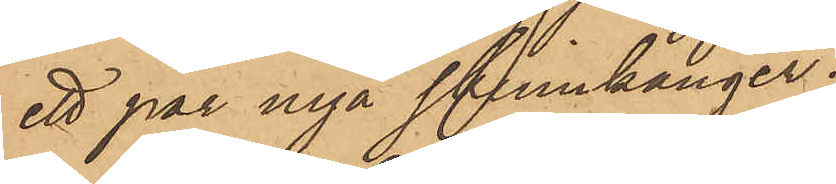ett par nya skinnkänger;
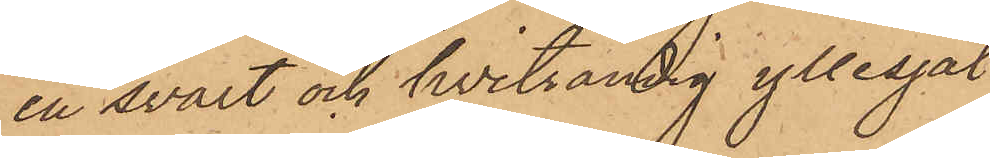en svart och hvitrandig yllesjal
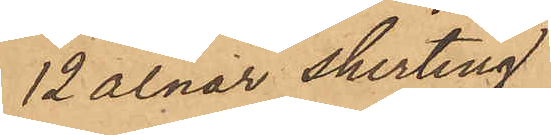12 alnar shirting
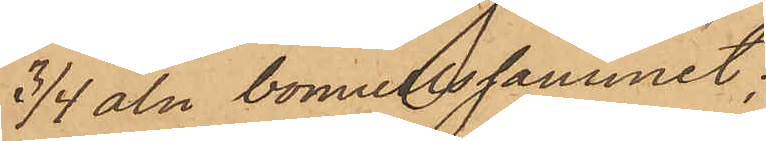3/4 aln bomullssammet;
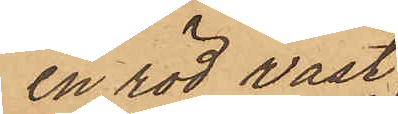en röd väst,
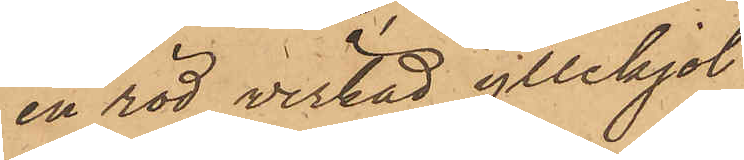en röd veckad yllekjol
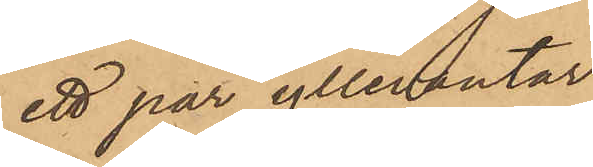ett par yllevantar
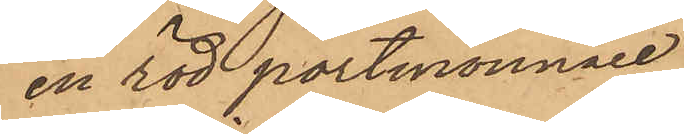en röd portmonnaie
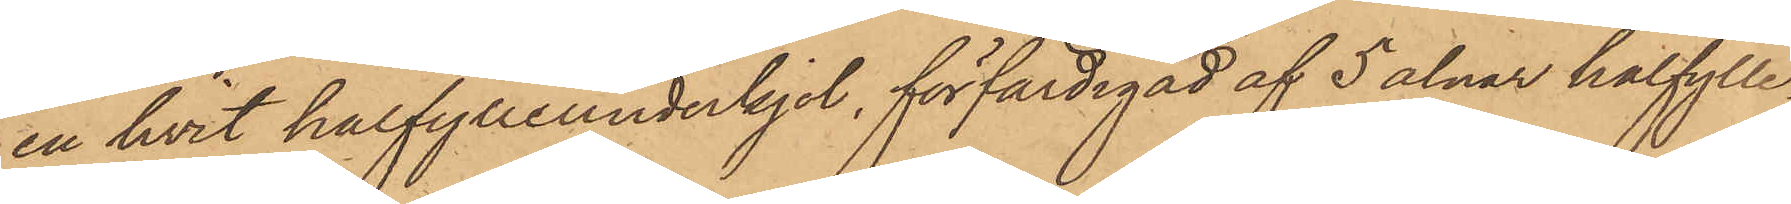en hvit halfylleunderkjol, förfärdigad af 5 alnar halfylle¬
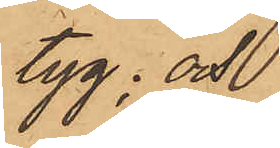tyg; och
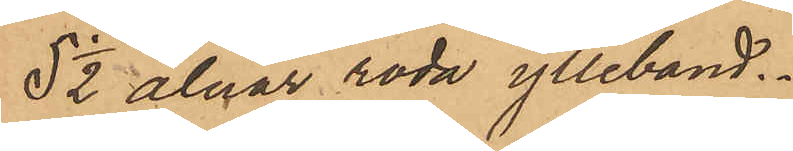5 1/2 alnar röda ylleband.
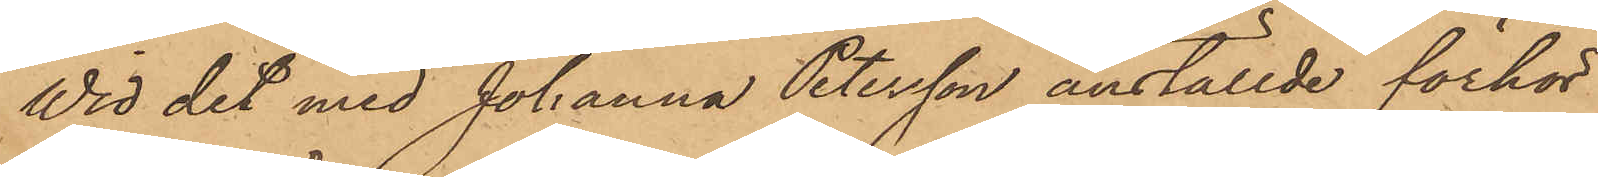Wid det med Johanna Petersson anställde förhör
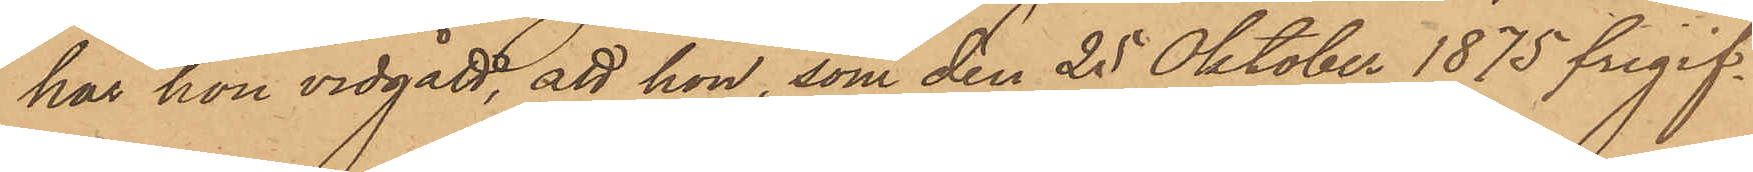har hon vidgått, att hon, som den 25 Oktober 1875 frigif¬
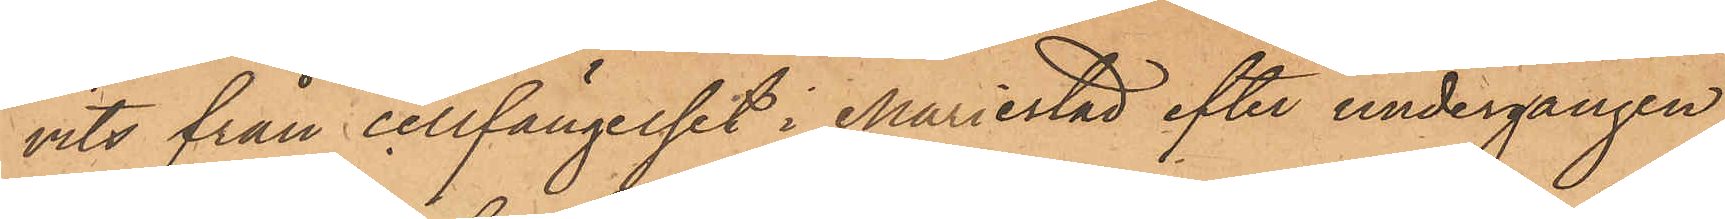vits från cellfängelset i Mariestad efter undergången
